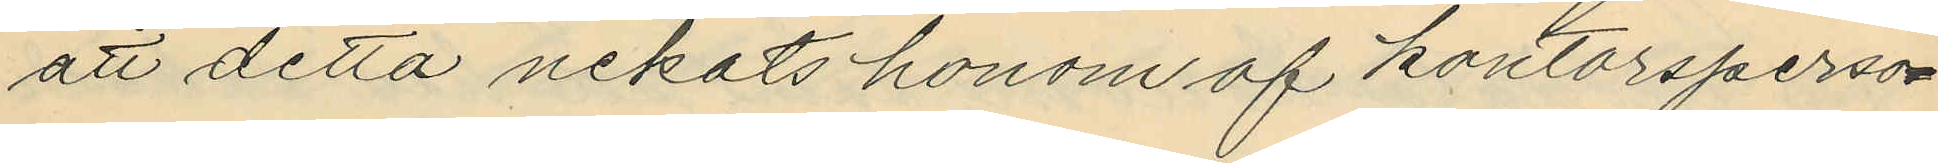att detta nekats honom af kontorsperso¬
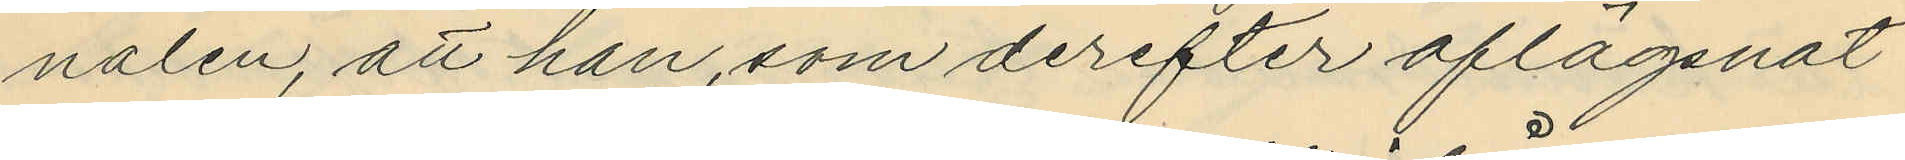nalen, att han, som derefter aflägsnat
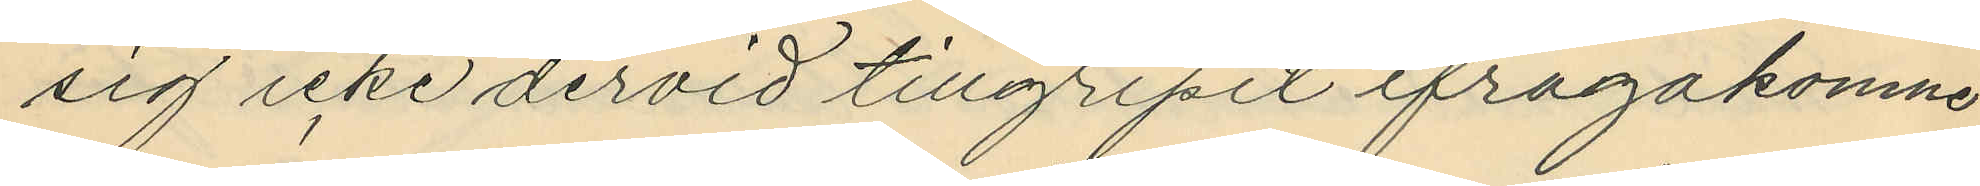sig icke dervid tillgripit ifrågakomne
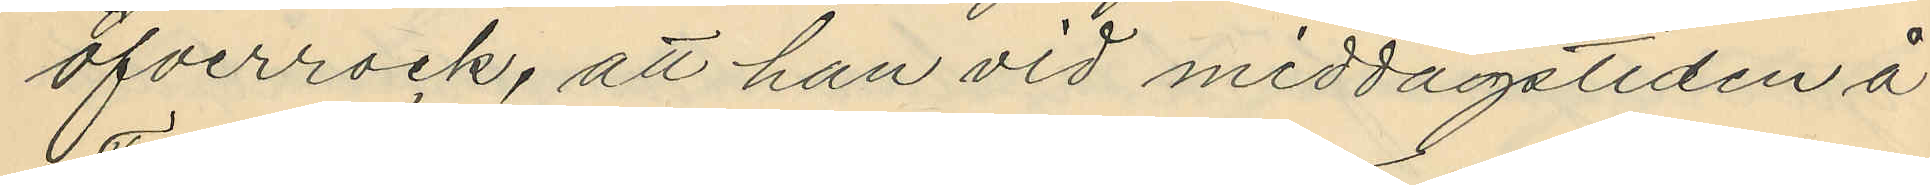öfverrock, att han vid middagstiden å
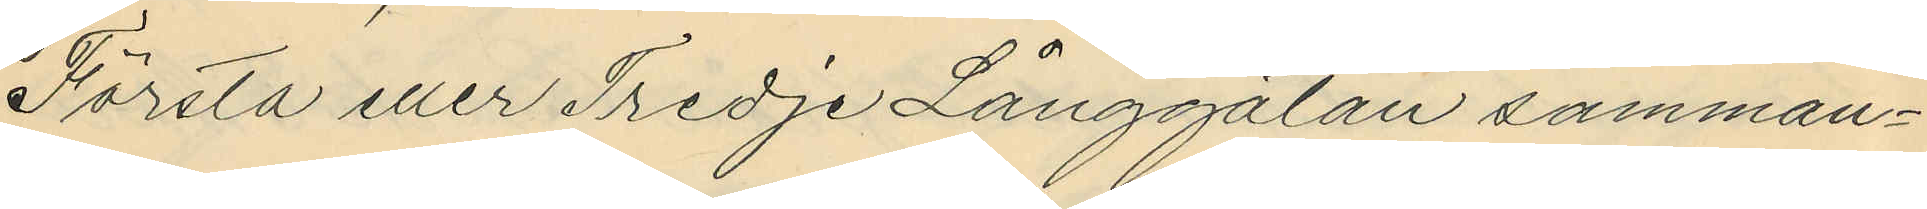Första eller Tredje Långgatan samman¬
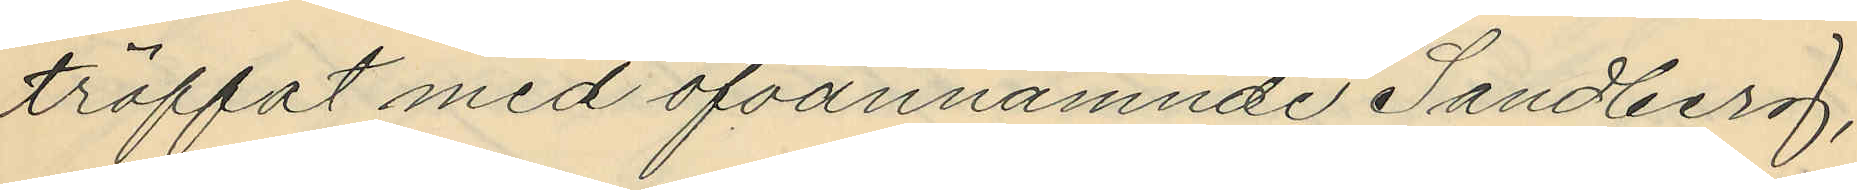träffat med ofvannämnde Sandberg,
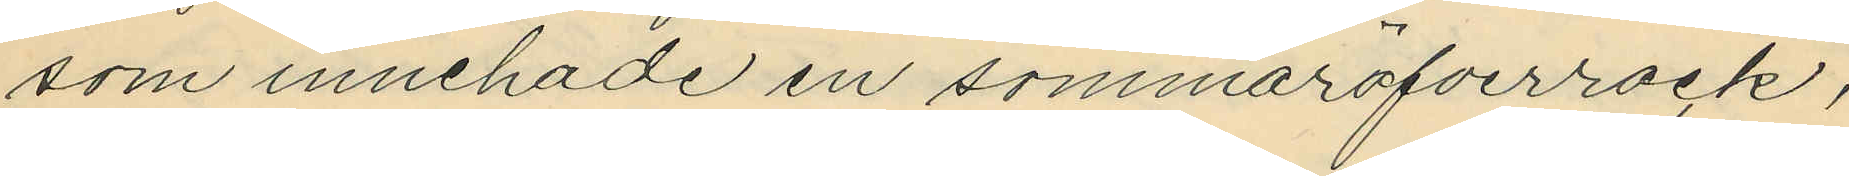som innehade en sommaröfverrock,
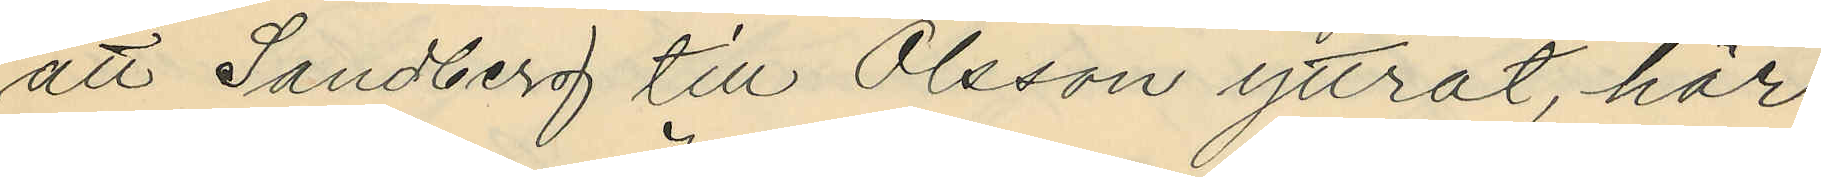att Sandberg till Olsson yttrat, här
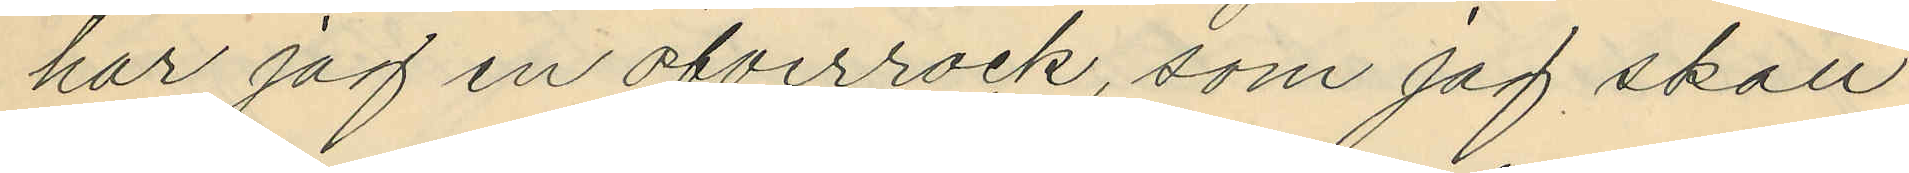har jag en öfverrock, som jag skall
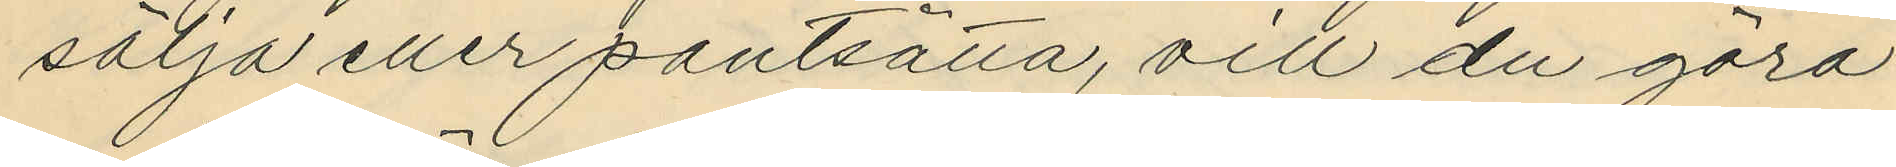sälja eller pantsätta, vill du göra
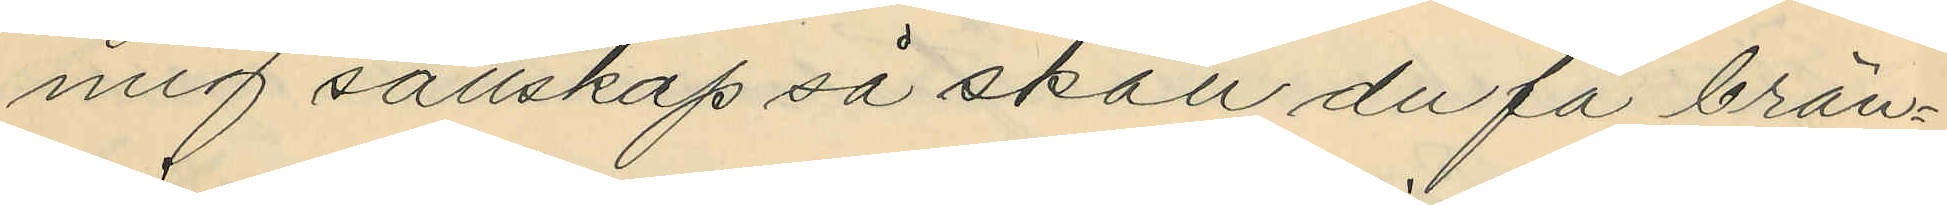mig sällskap så skal du få brän¬
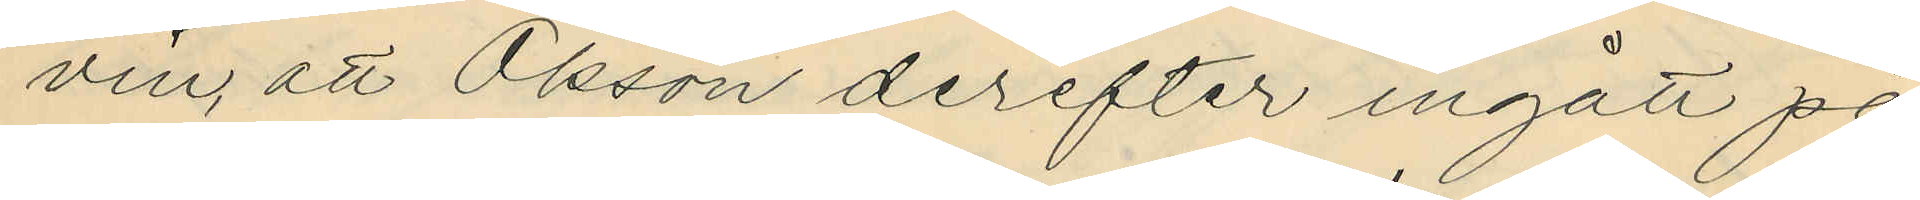vin, att Olsson derefter ingått på
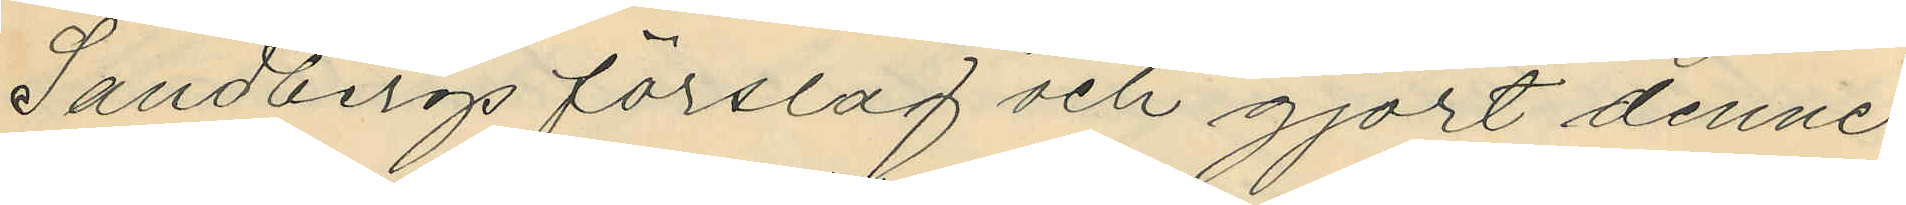Sandbergs förslag och gjort denne
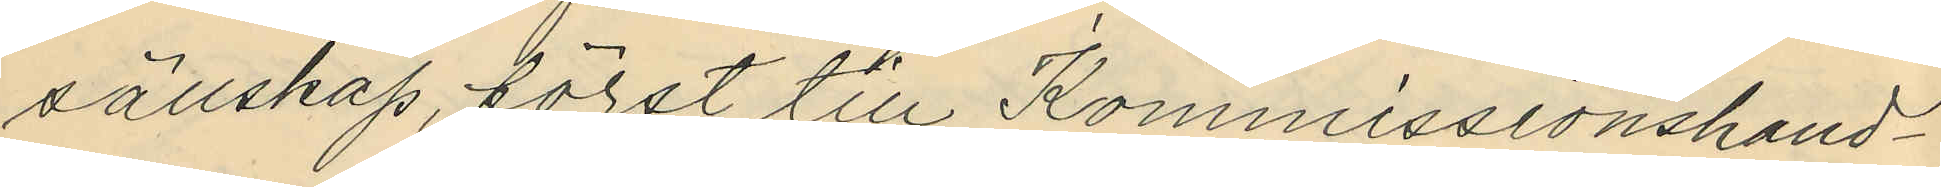sällskap, först till Kommissionshand¬
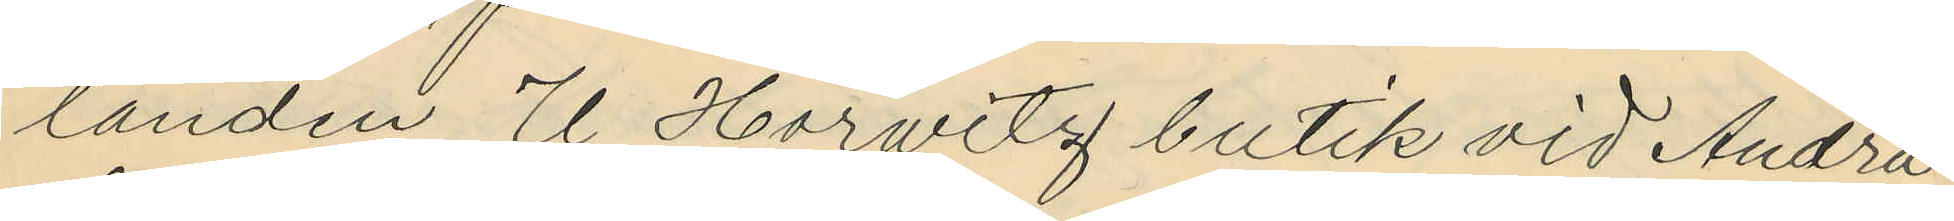landen U. Horwitz butik vid Andra
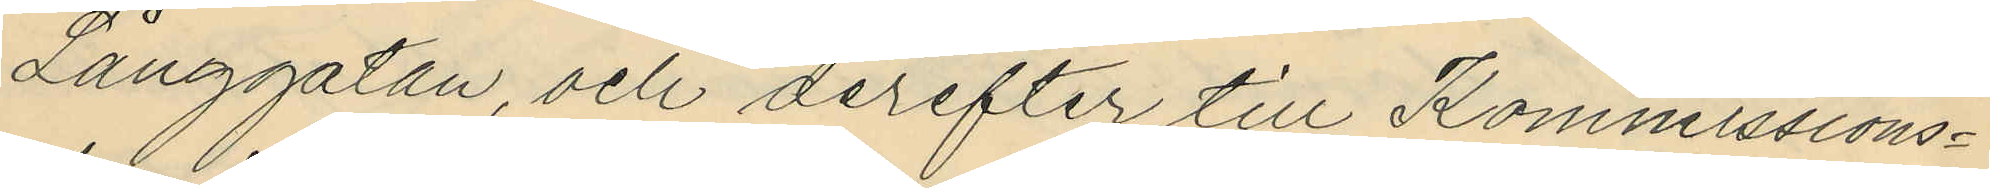Långgatan, och derefter till Kommissions¬
